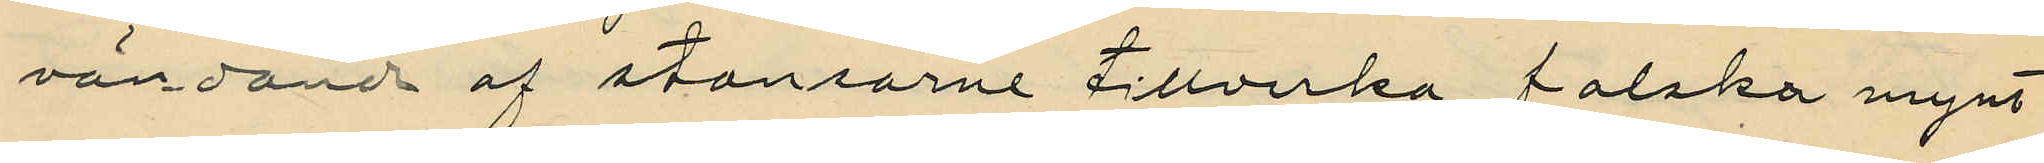vändande af stansarne tillverka falska mynt
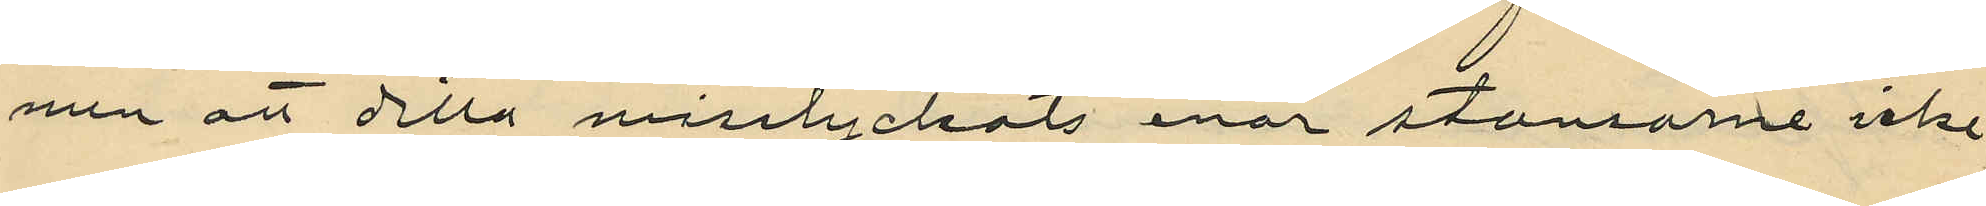men att detta misslyckats enär stansarne icke
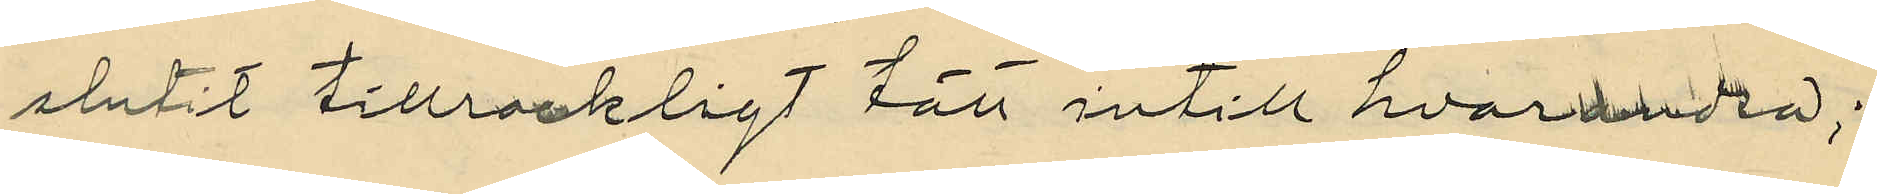slutit tillräckligt tätt intill hvarandra;
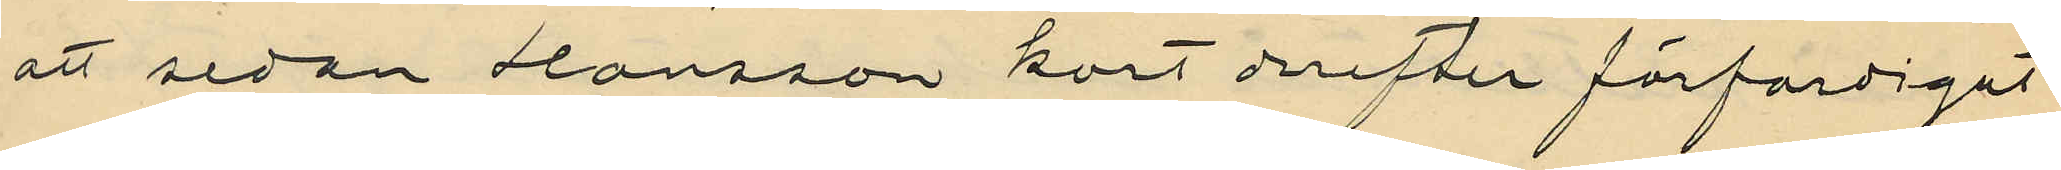att sedan Hansson kort derefter förfärdigat
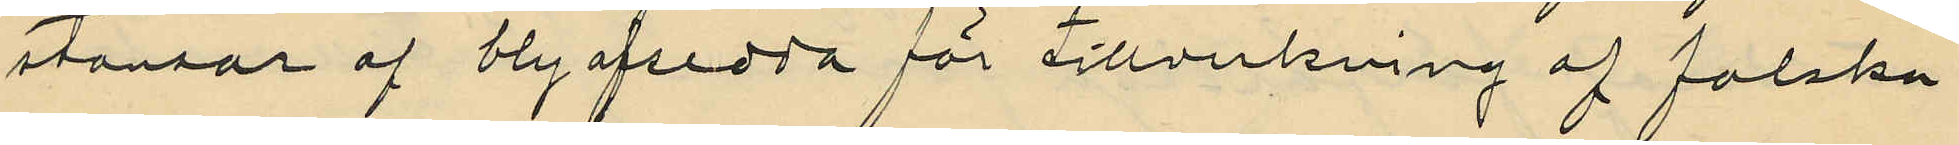stansar af bly afsedda för tillverkning af falska
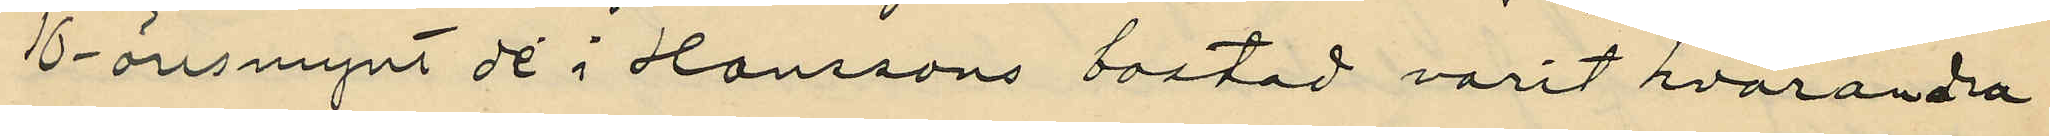10-öresmynt de i Hanssons bostad varit hvarandra
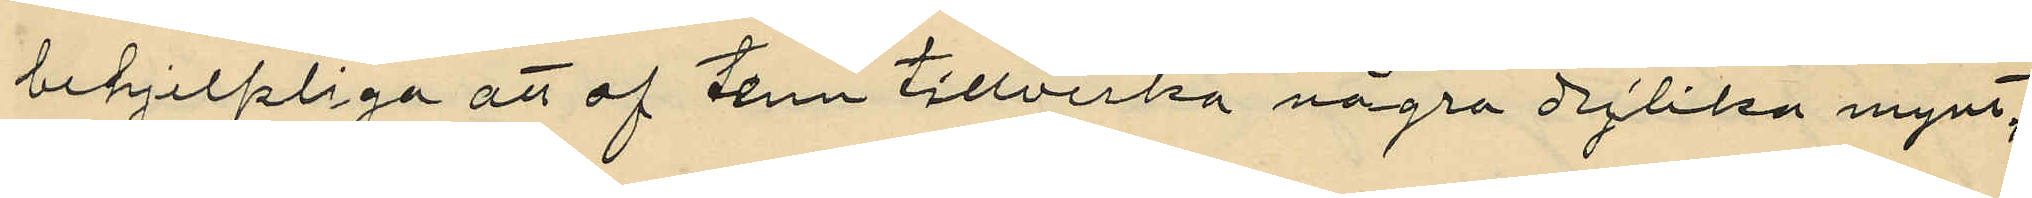behjelpliga att av tenn tillverka några dylika mynt;
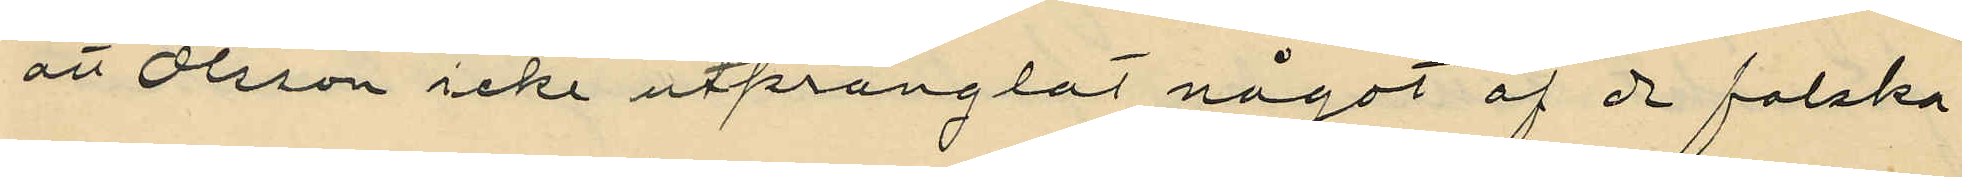att Olsson icke utprånglat något af de falska
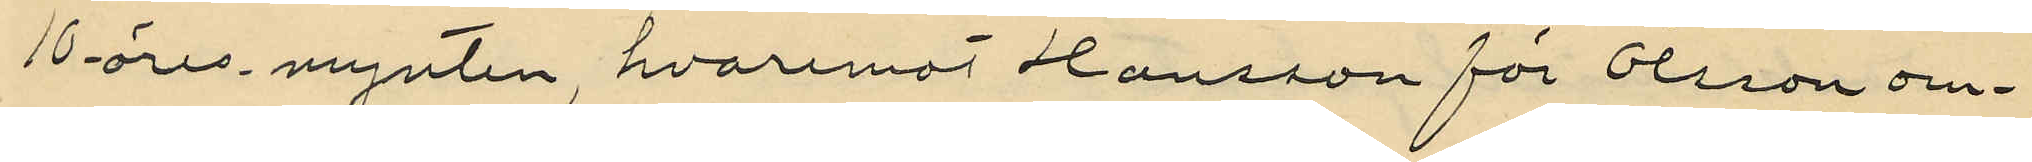10-öres mynten, hvaremot Hansson för Olsson om¬
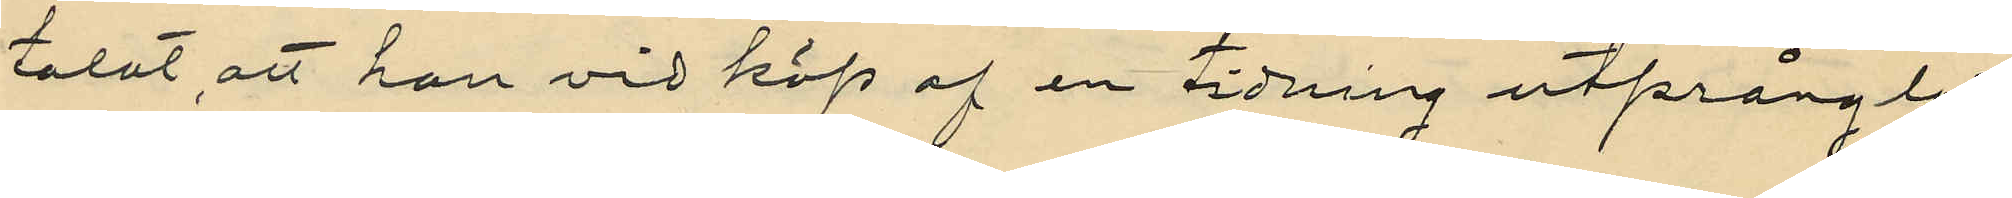talat, att han vid köp af en tidning utprånglat
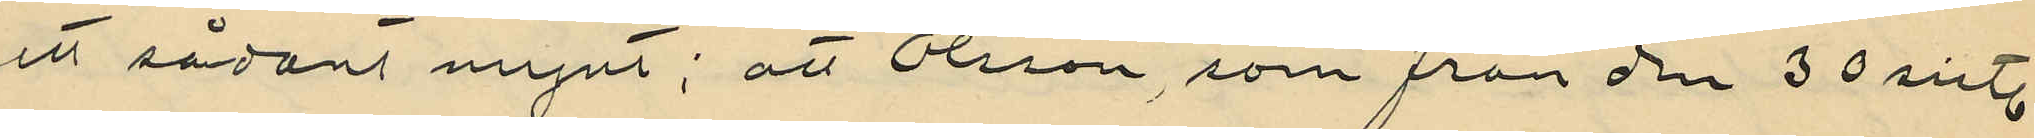ett sådant mynt; att Olsson, som från den 30 sistl.
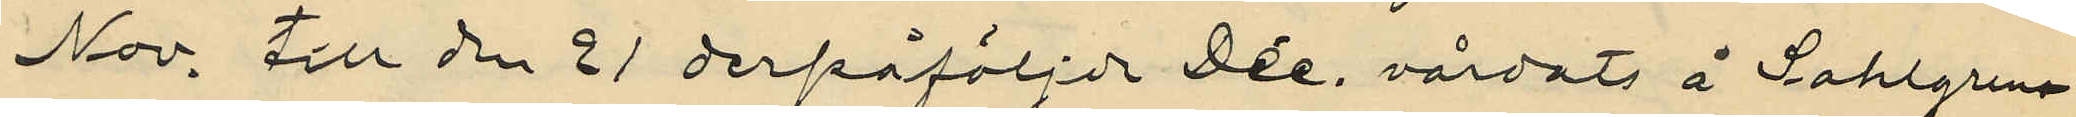Nov, till den 21 derpåföljde Dec, vårdats å Sahlgren¬
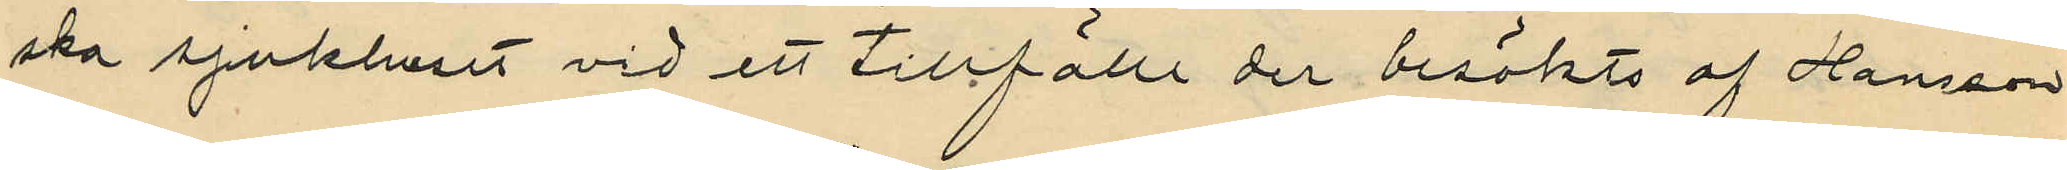ska sjukhuset vid ett tillfälle der besökts af Hansson
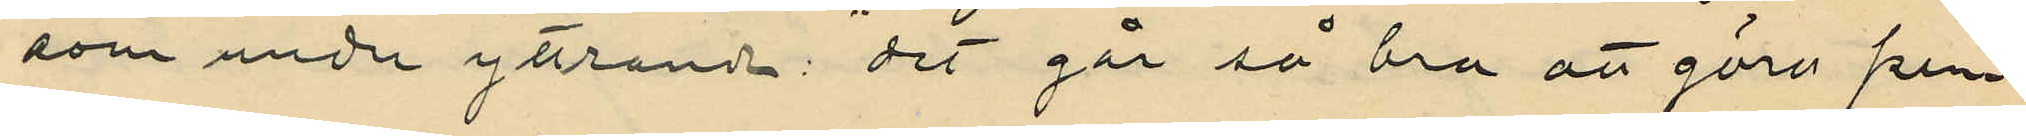som under yttrande: "det går så bra att göra pen¬
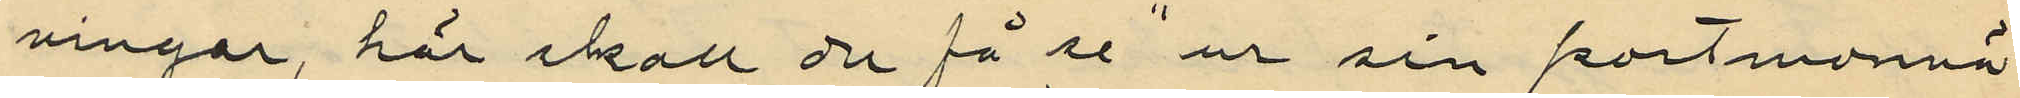ningar, här skall du få se" ur sin portmonnä
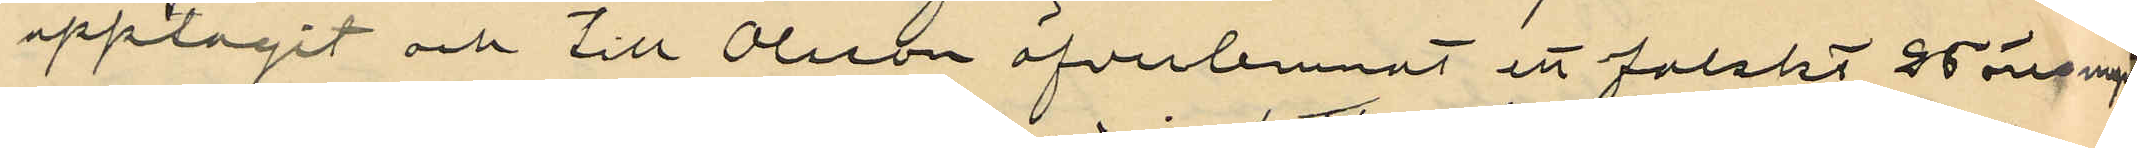upptagit och till Olsson öfverlemnat ett falskt 25 öresmynt;
